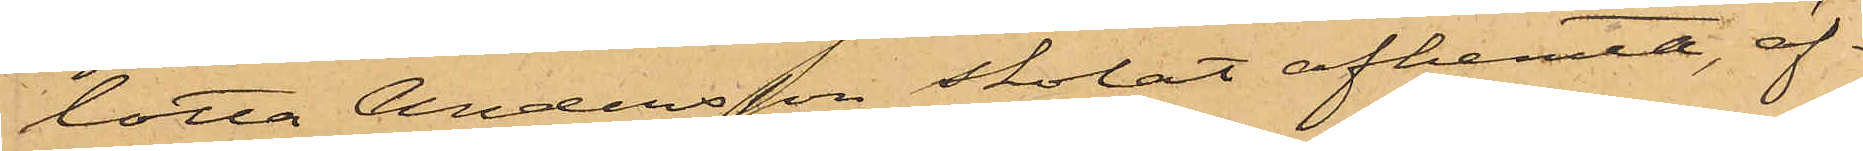lotta Andersson skolat afhemta, äf¬
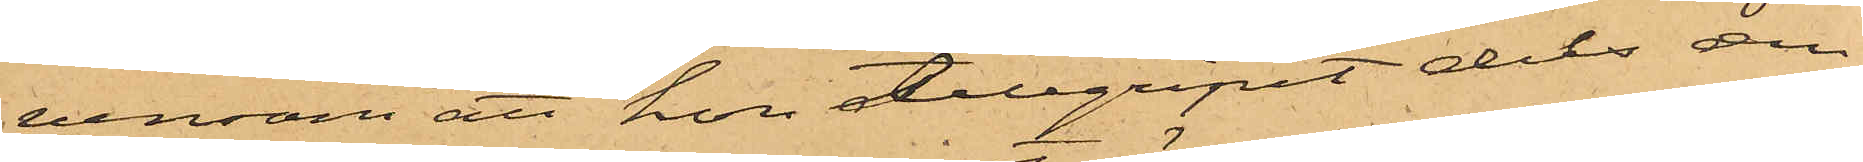vensom att hon tillgripit dels den
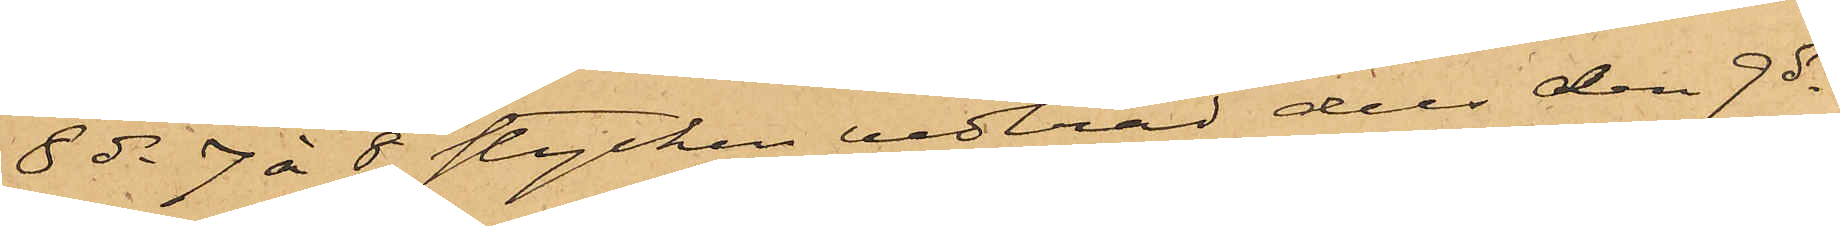8 ds 7 à 8 stycken vedträd dels den 9 ds
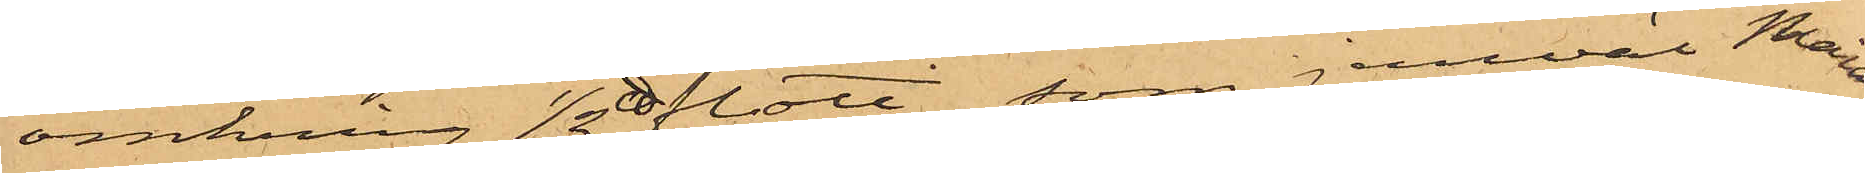omkring 1/2 ℔ flott, som jemväl Maria
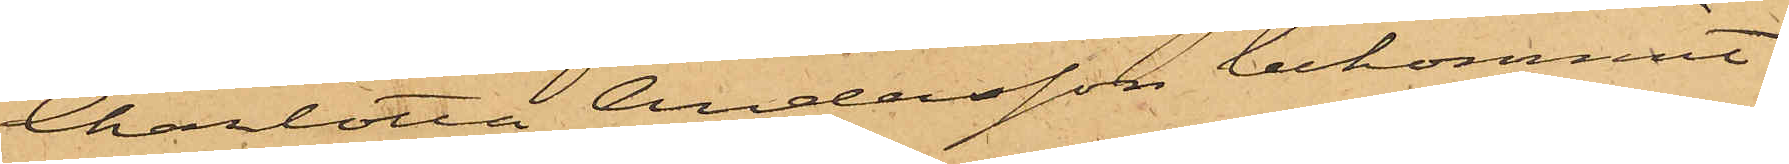Charlotta Andersson bekommit.
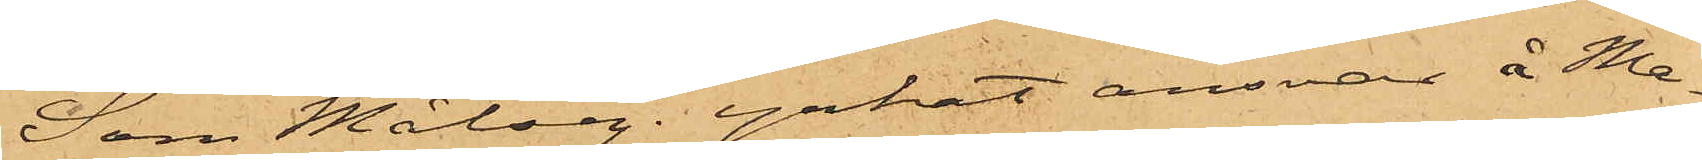Som Målseg. yrkat ansvar å Ma¬
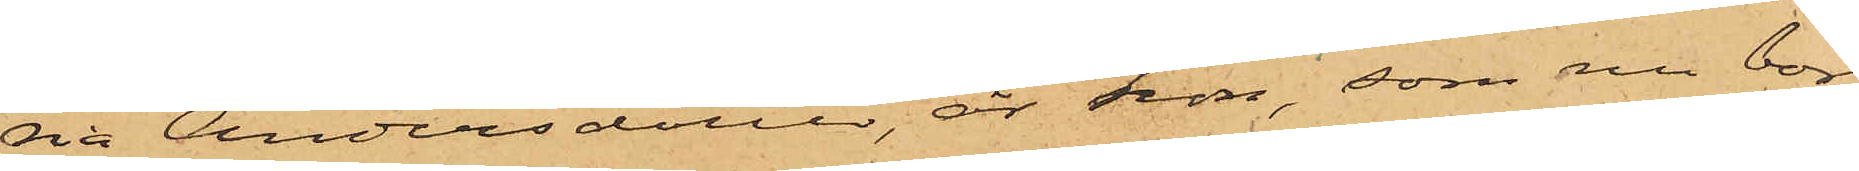ria Andersdotter, är hon, som nu bor
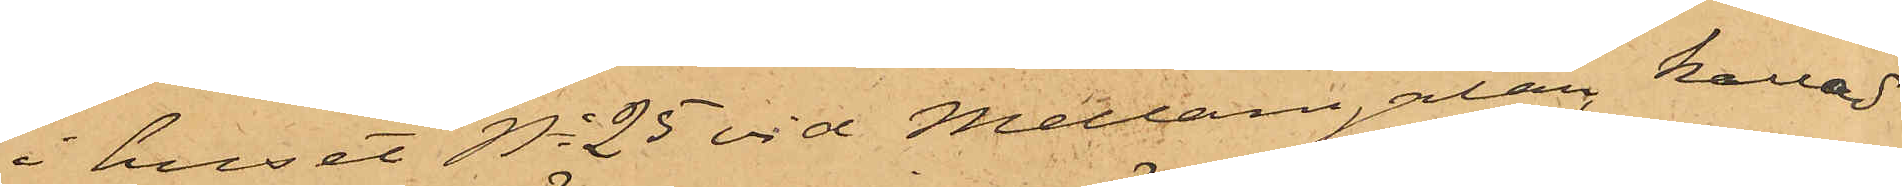i huset No 25 vid Mellangatan, kallad
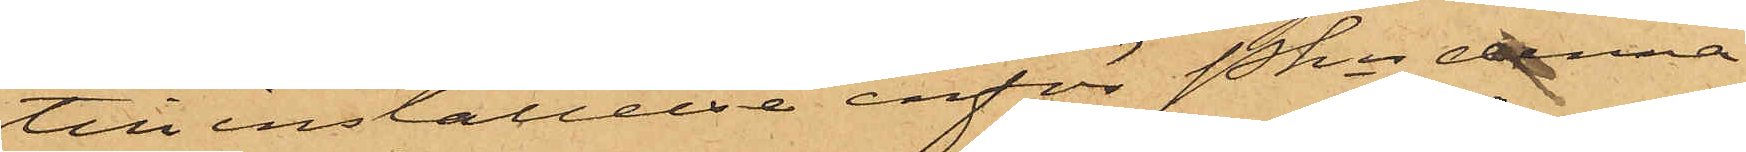till inställelse inför Pkn denna
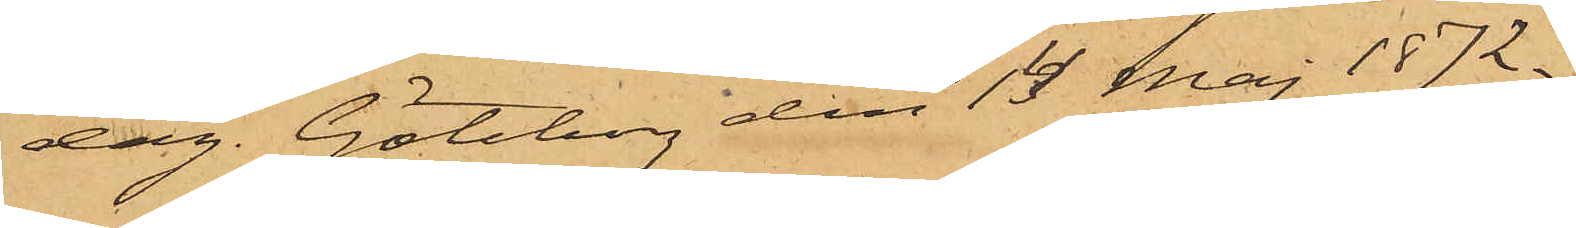dag. Göteborg den 14 Maj 1872.
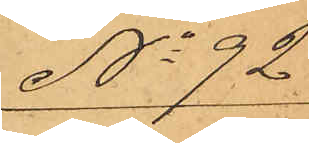No 92
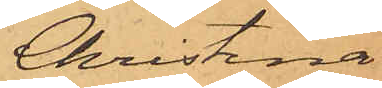Christina
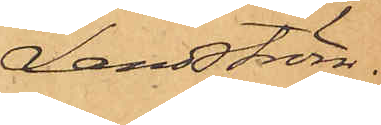Landström.
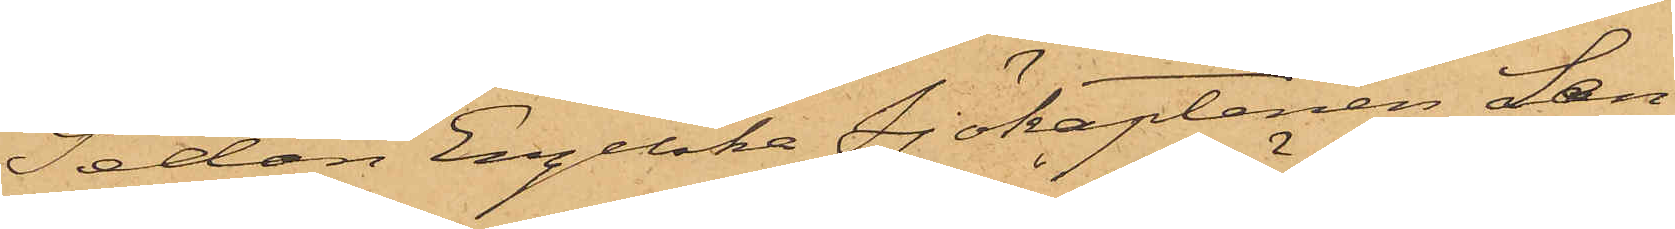Sedan Engelska Sjökaptenen Lan¬
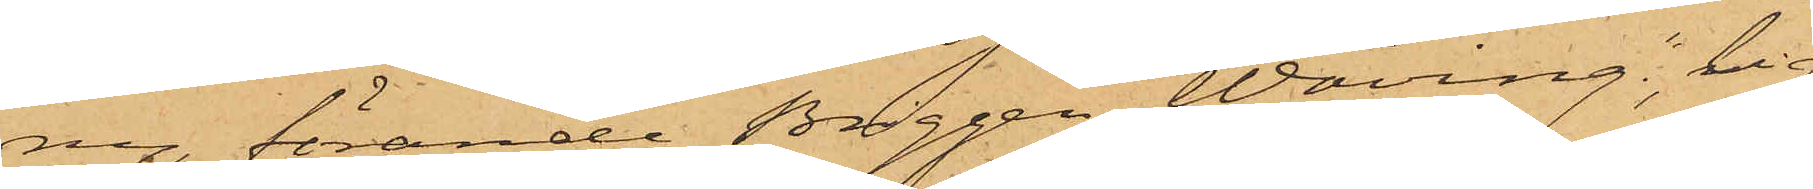ny, förande Briggen "Wäring", lig¬
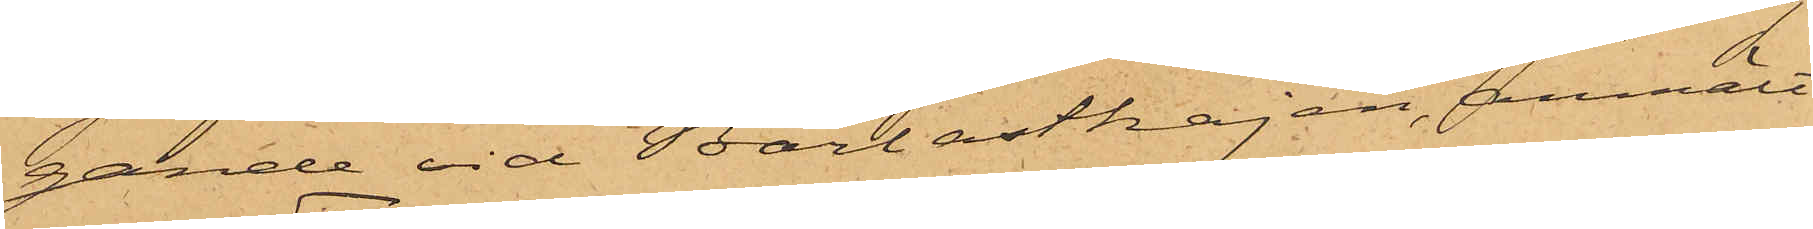gande vid Barlastkajen, anmält
